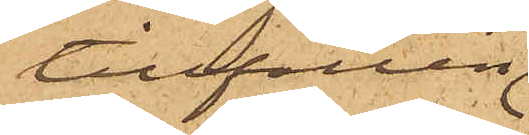tillfällen
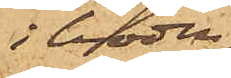i boden
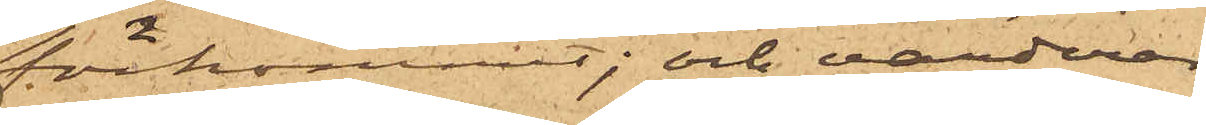förekommit; och värderar
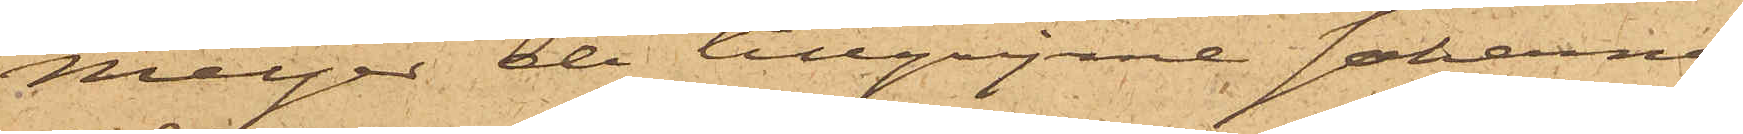Meyer de tillgripne sakerna
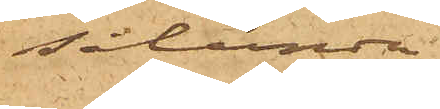sålunda
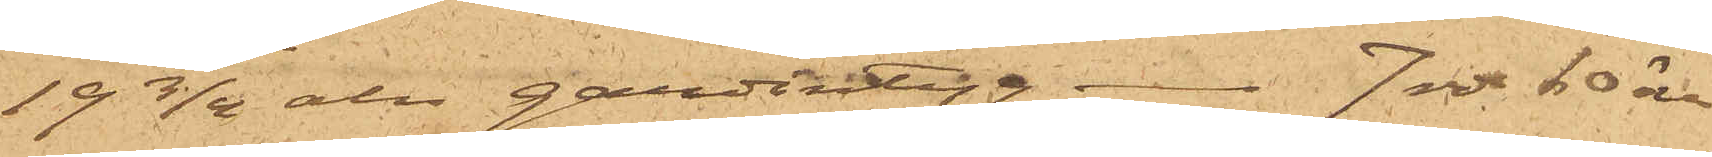19 3/4 aln gardintyg 7 rdr 60 öre
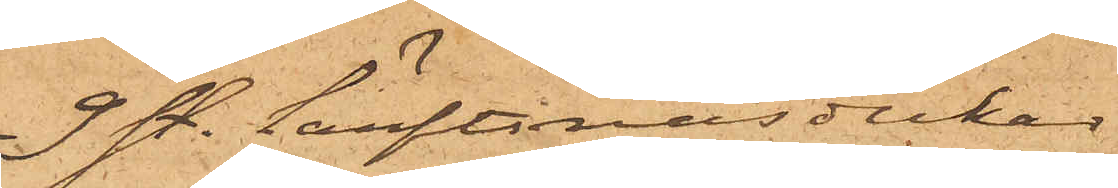9 st. Lärftsnäsdukar
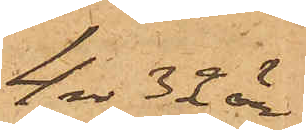4 rdr 32 öre
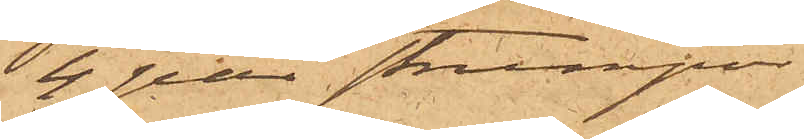4 par strumpor
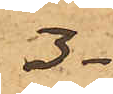3-
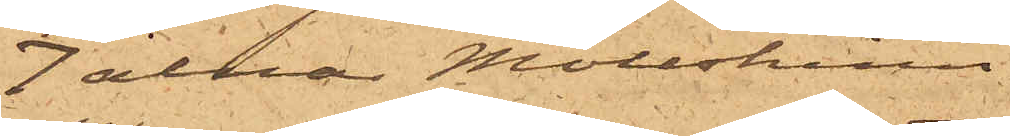7 alnar Mollskinn
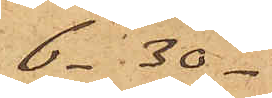6- 30-
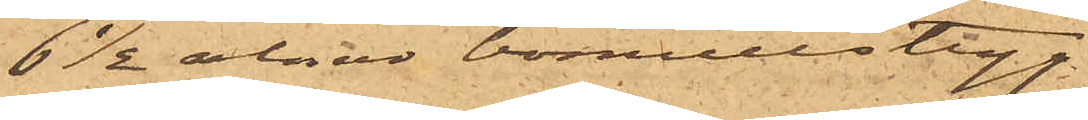6 ½ alnar bomullstyg
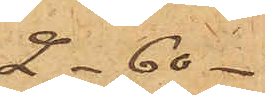2-60-
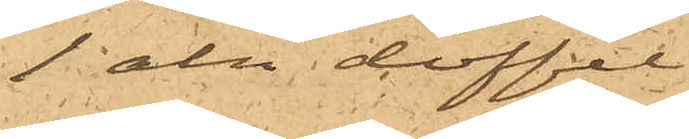1 aln doffel
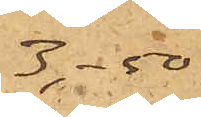3- 50-
